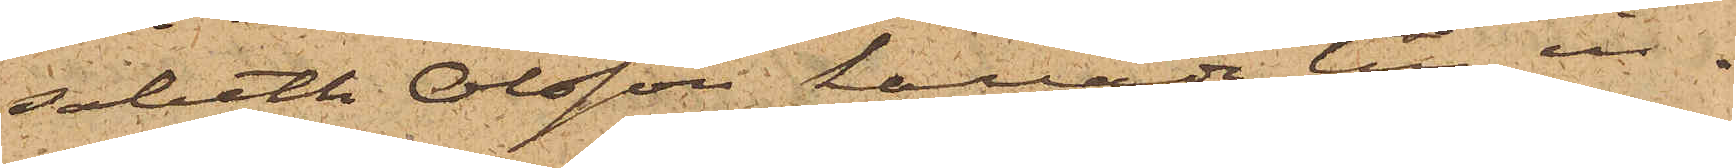sabeth Olsson kallade till in¬
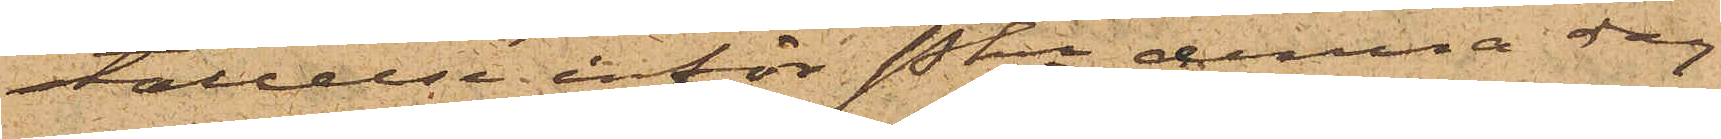ställelse inför Pkn denna dag
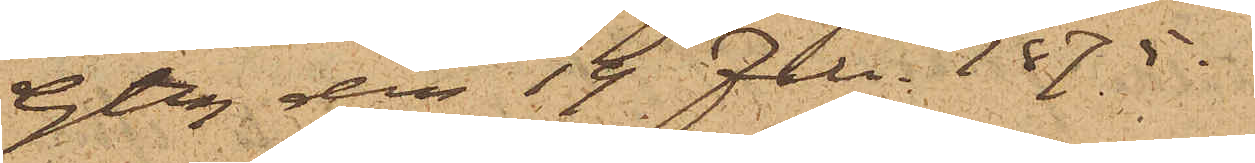Gtbg den 19 Febr. 1875.
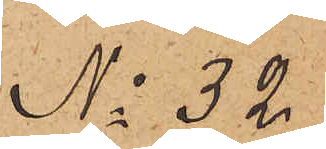No 32.
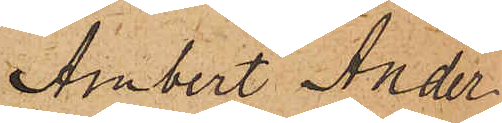Ambert Ander¬
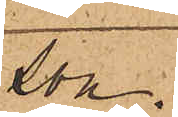son.
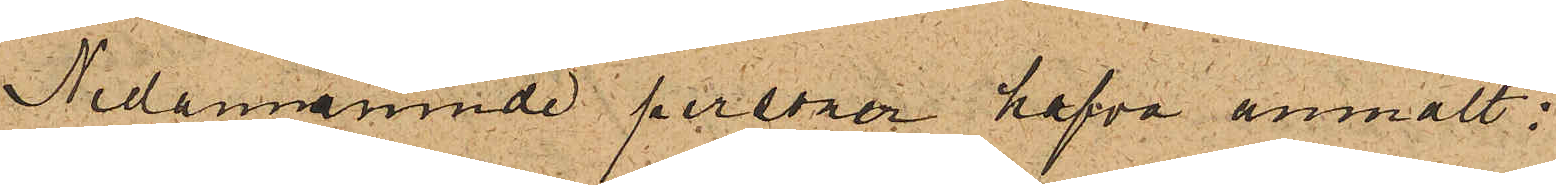Nedannämnde personer hafva anmält:
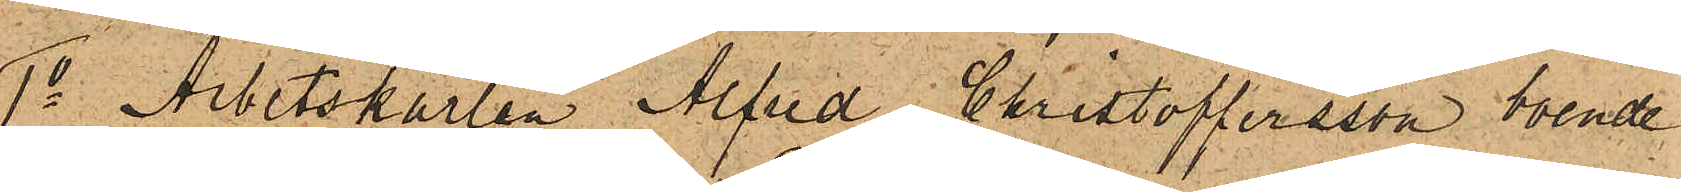1o Arbetskarlen Alfred Christoffersson, boende
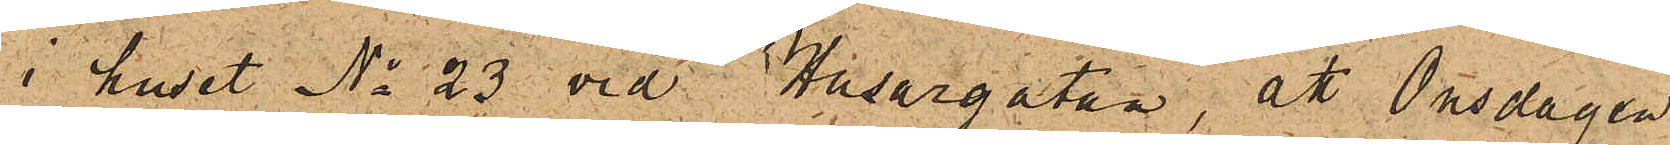i huset No 23 vid Husargatan, att Onsdagen
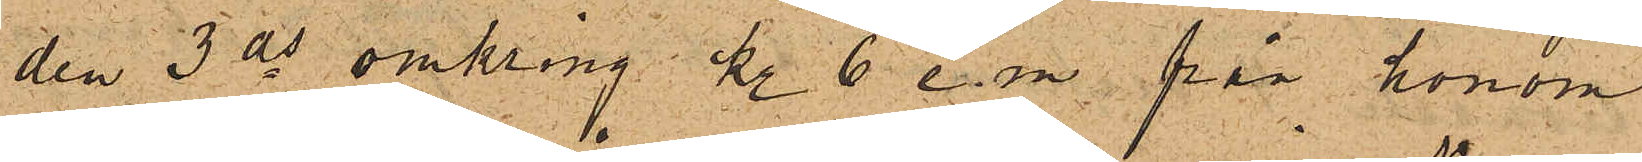den 3 ds omkring kl. 6 e. m. från honom
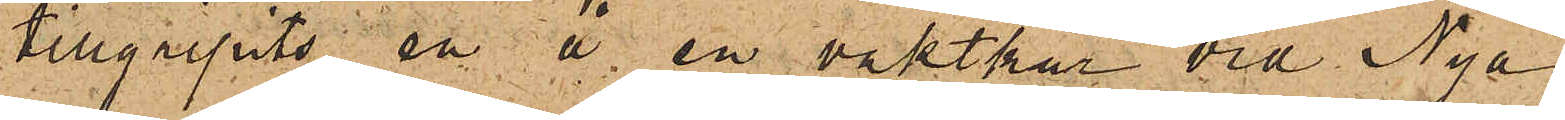tillgripits en å en vaktkur vid Nya
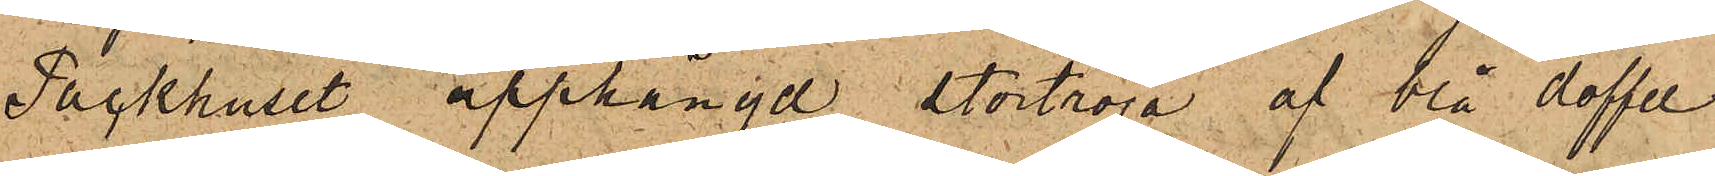Packhuset upphängd stortröja af blå doffel
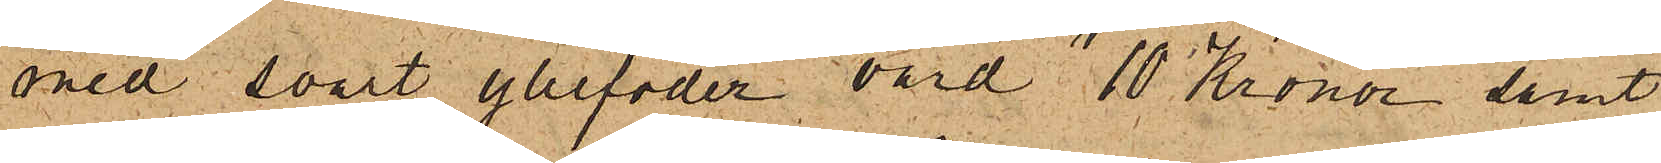med svart yllefoder, värd 10 Kronor, samt
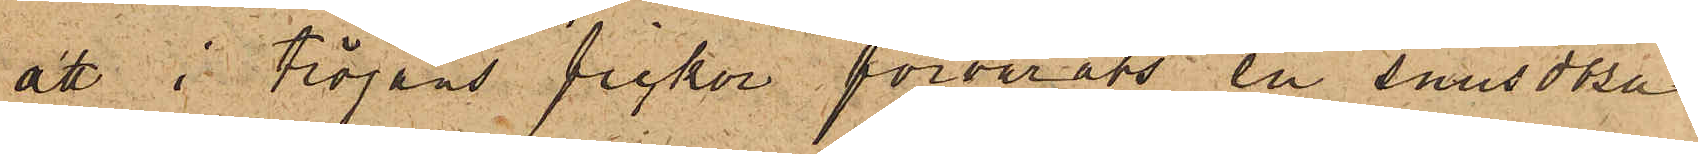att i tröjans fickor förvarats en snusdosa
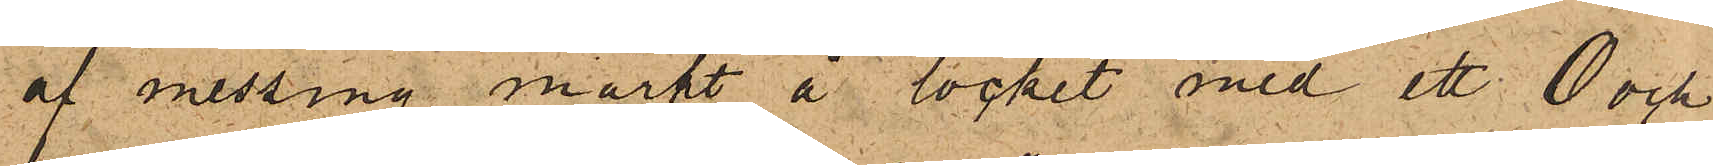af messing märkt å locket med ett 0 och
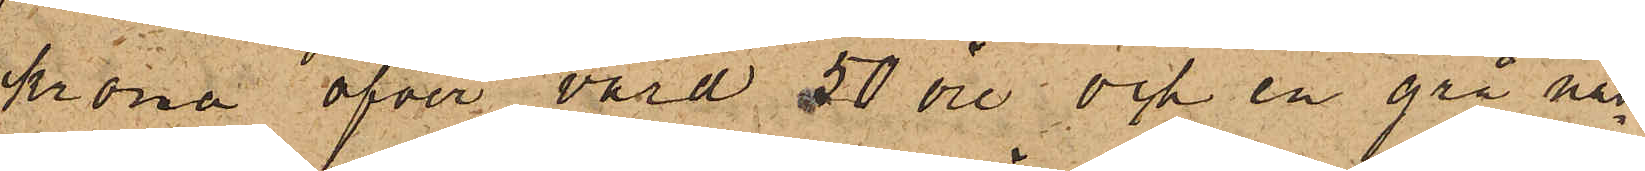krona öfver värd 50 öre och en grå näs¬
